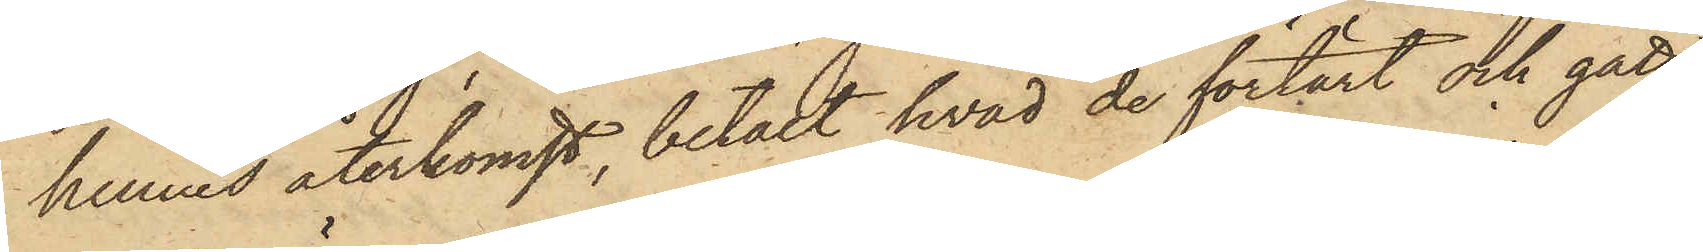hennes återkomst, betalt hvad de förtärt och gått,
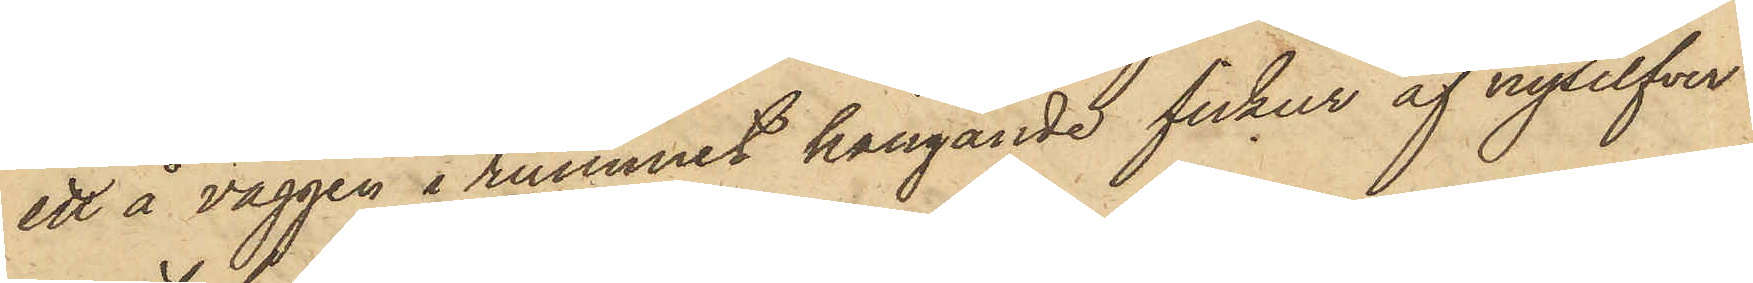ett å väggen i rummet hängande fickur af nysilfver
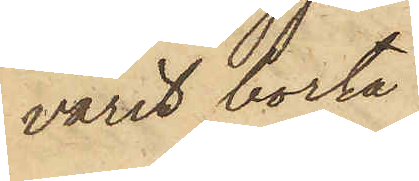varit borta.
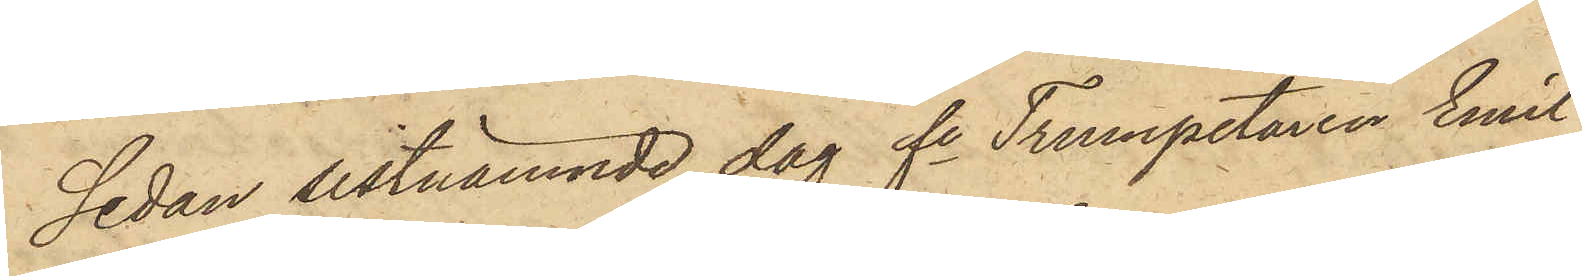Sedan sistnämnde dag fe Trumpetaren Emil
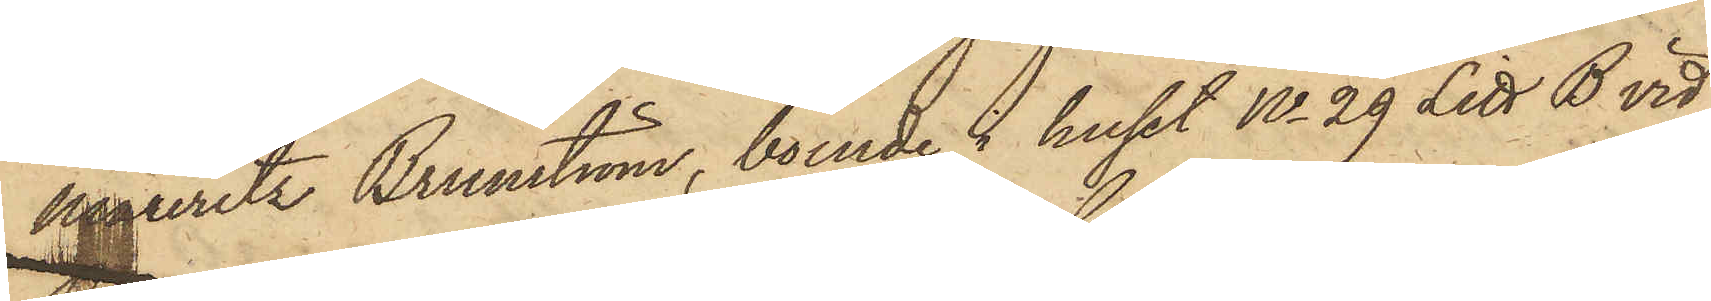Mauritz Brunström, boende i huset No 29 Litt. B vid
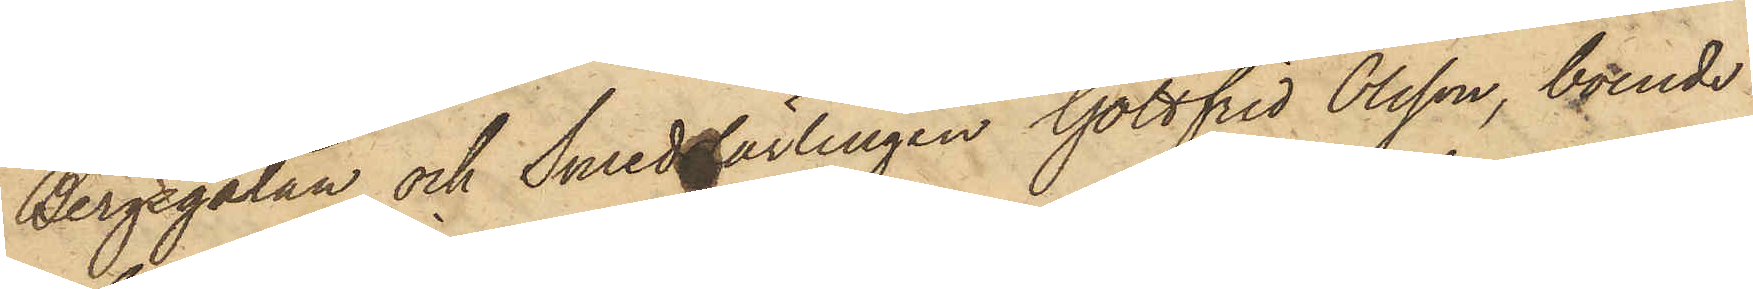Bergsgatan och Smedslärlingen Gottfrid Olsson, boende
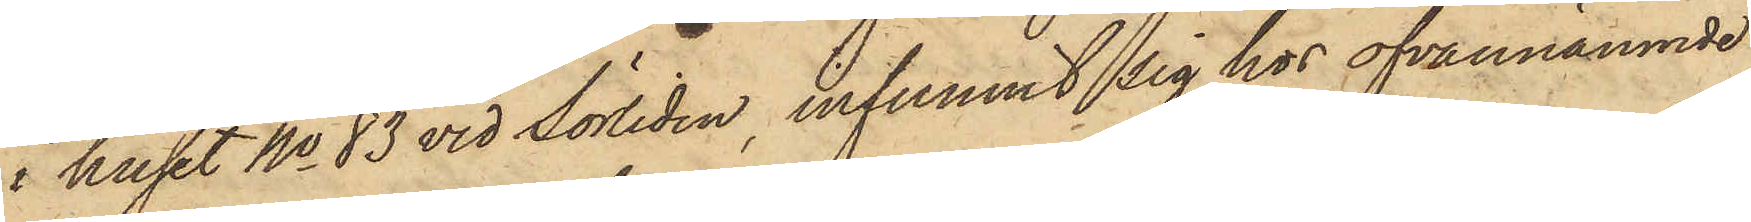i huset No 83 vid Sörliden, infunnit sig hos ofvannämnde
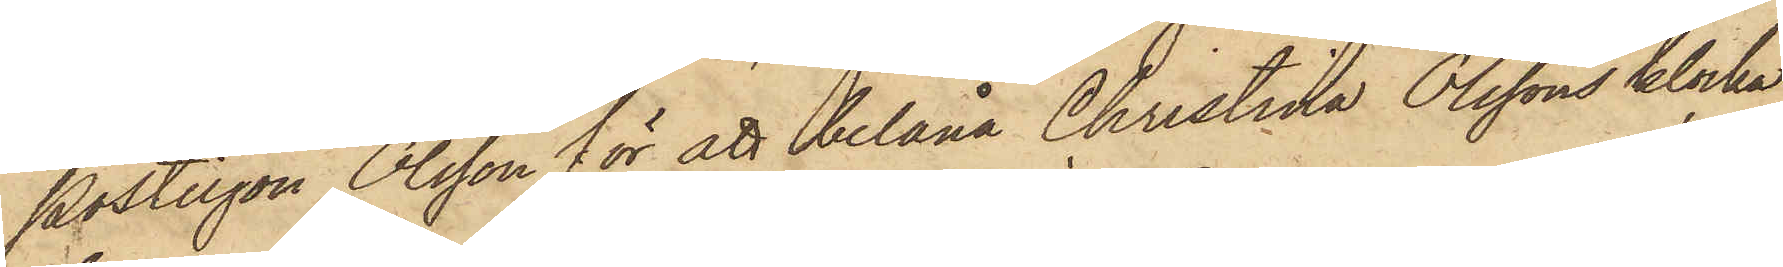Postiljon Olsson för att belåna Christina Olssons klocka,
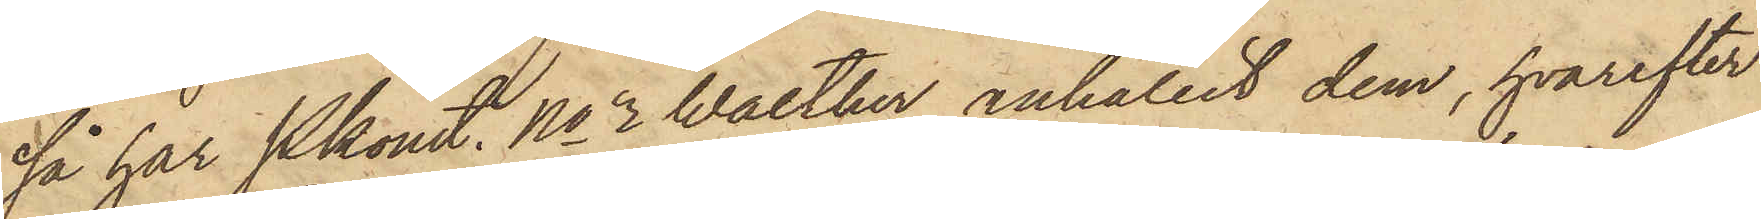så har Pkonst. No 2 Walther anhållit dem, hvarefter
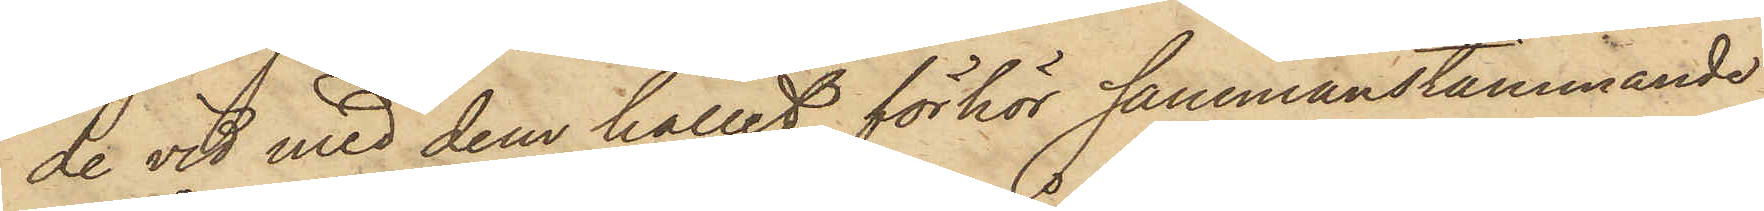de vid med dem hållet förhör sammanstämmande
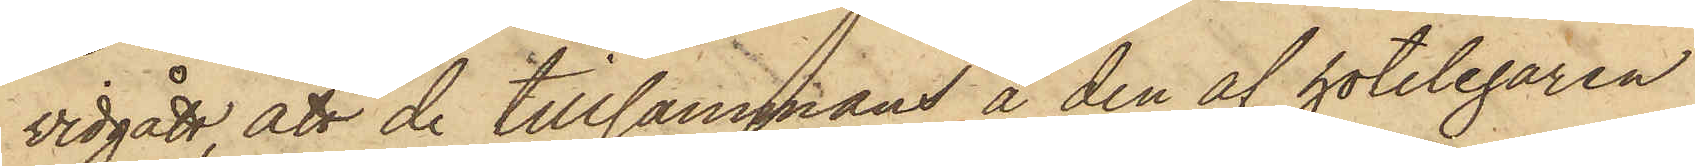vidgått, att de tillsammans å den af hotelegaren
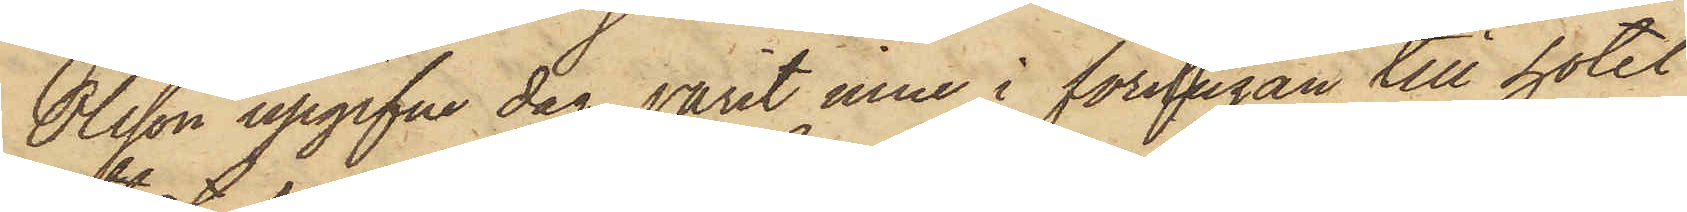Olsson upgifne dag varit inne i förstugan till hotel
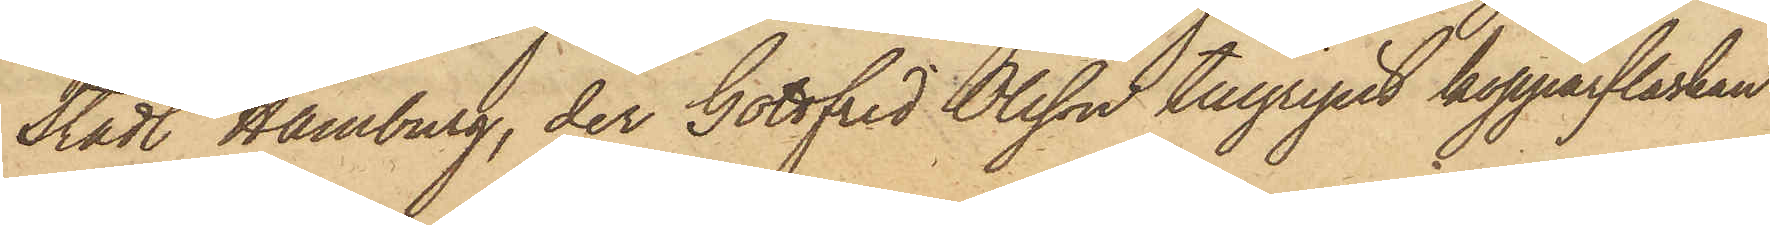Stadt Hamburg, der Gottfrid Olsson tillgripit kopparflaskan
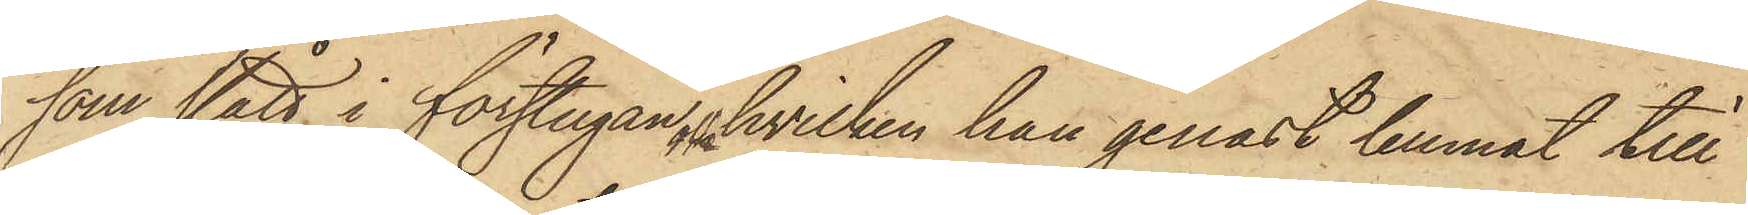som stått i förstugan, hvilken han genast lemnat till
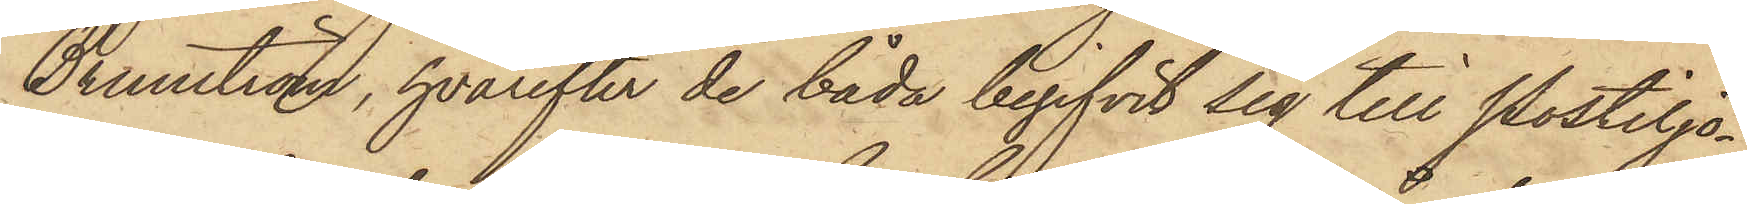Brunström, hvarefter de båda begifvit sig till Postiljo¬
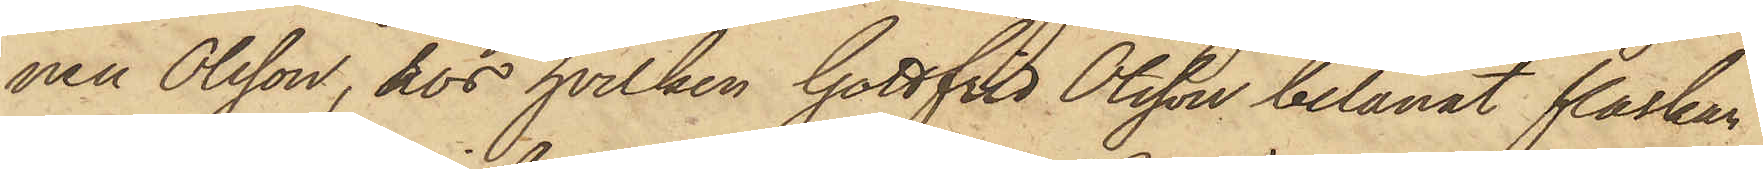nen Olsson, hos hvilken Gottfrid Olsson belånat flaskan
